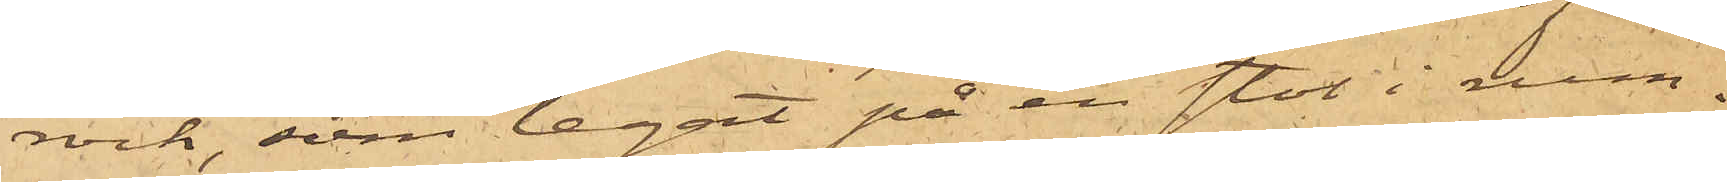rock, som legat på en stol i rum¬
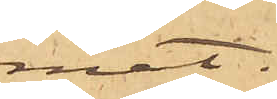met.
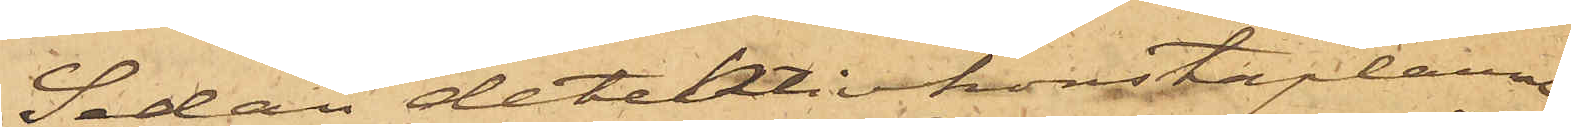Sedan detektivkonstaplarne
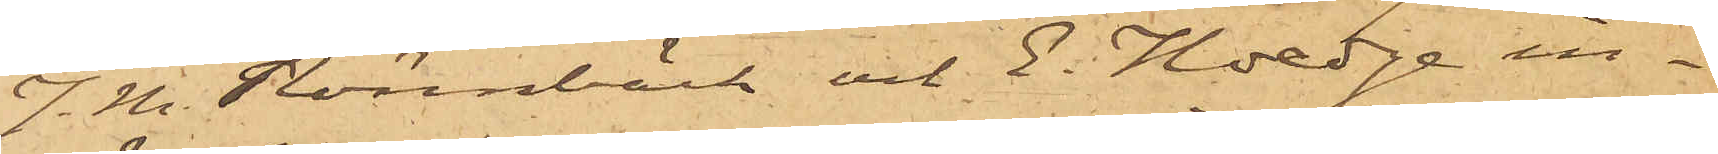J. M. Rönnbäck och E. Hedge in¬
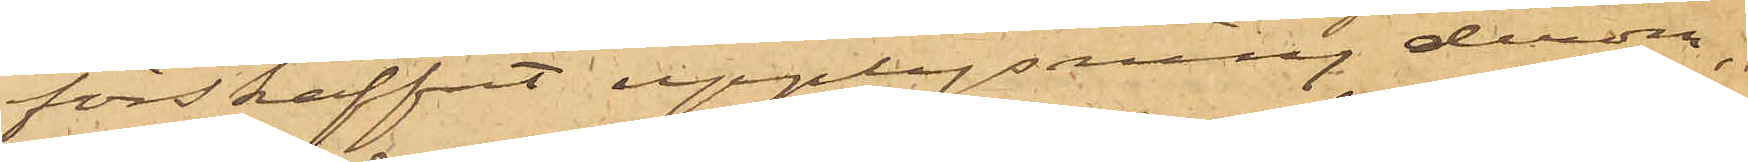förskaffat upplysning derom,
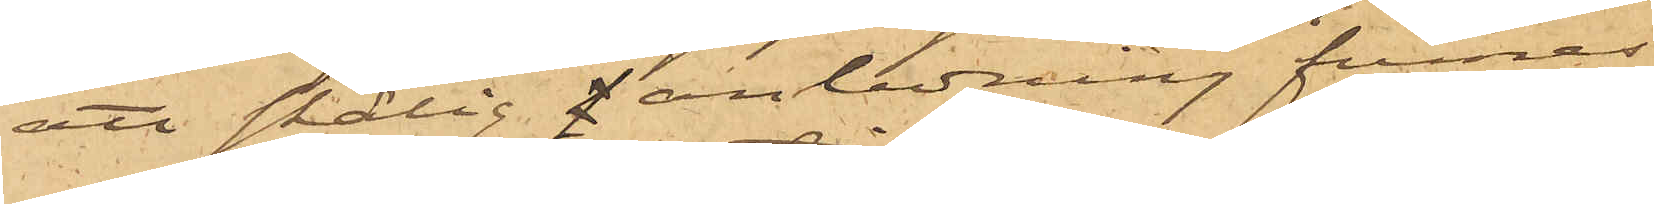att skälig i anledning funnes
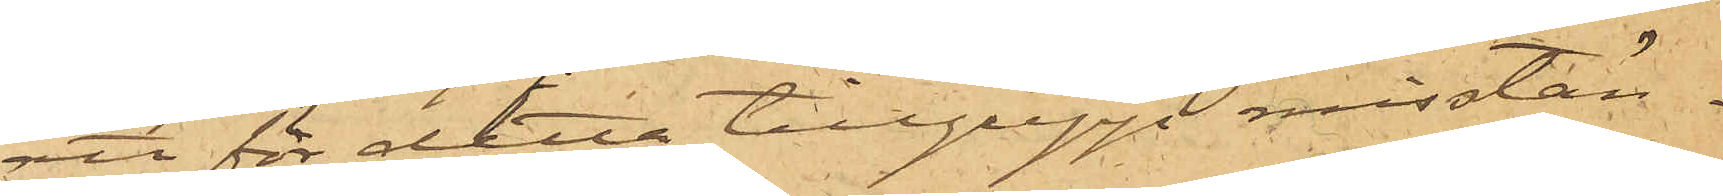att för detta tillgrepp misstän¬
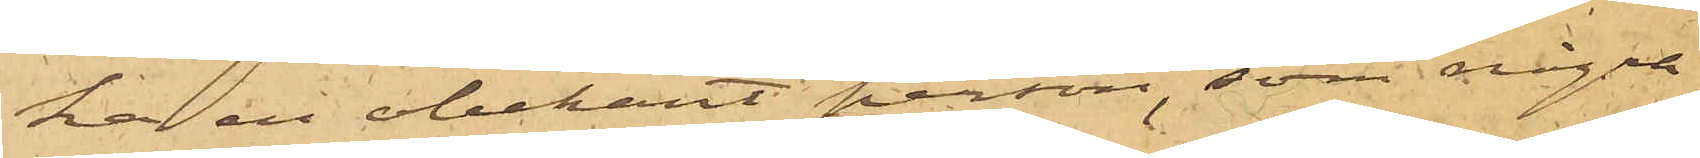ka en obekant person, som några
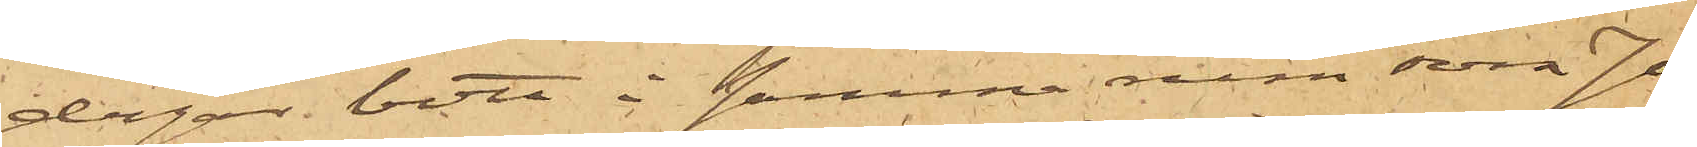dagar bott i samma rum som Jo¬
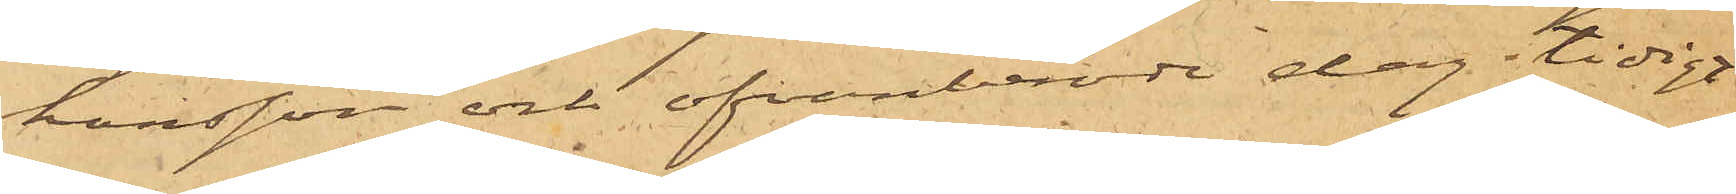hansson och ofvanberörde dag tidigt
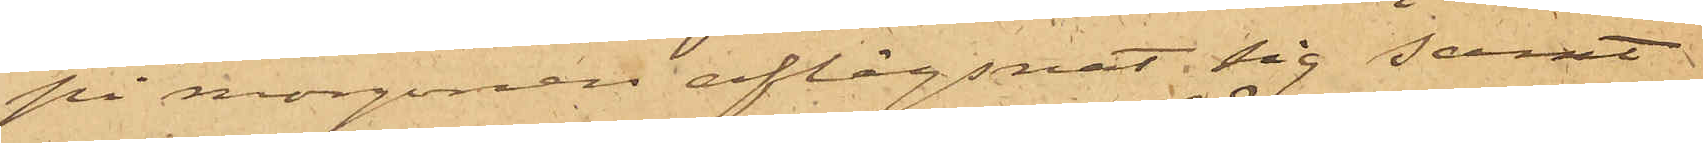på morgonen aflägsnat sig samt
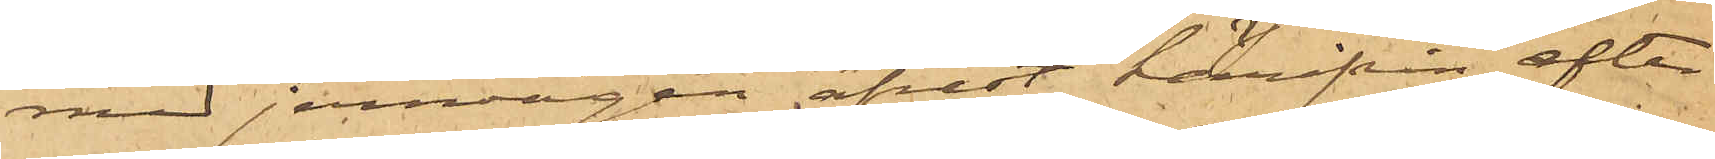med jernvägen afrest härifrån efter
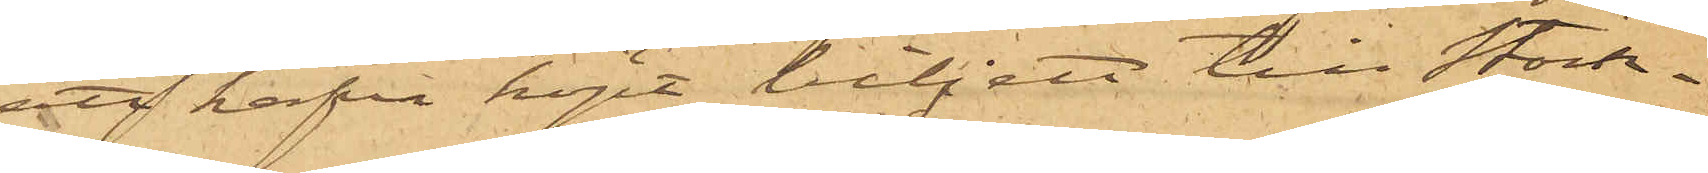att hafva köpt biljett till Stock¬
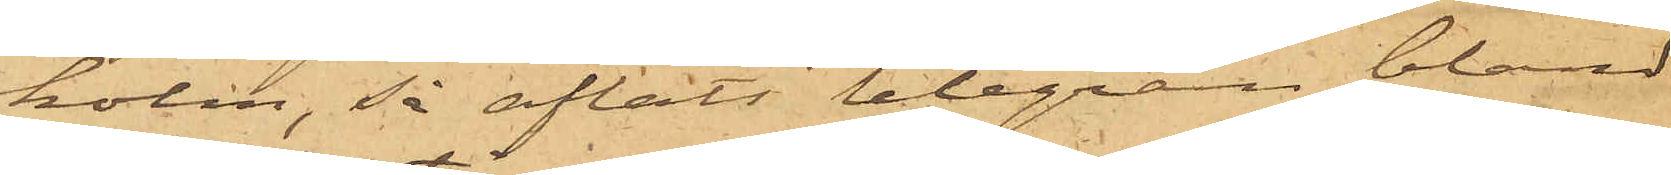holm, så afläts telegram bland
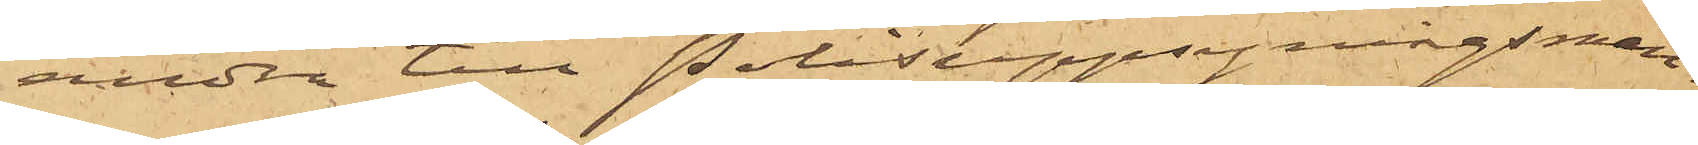andra till Polisuppsyningsman¬
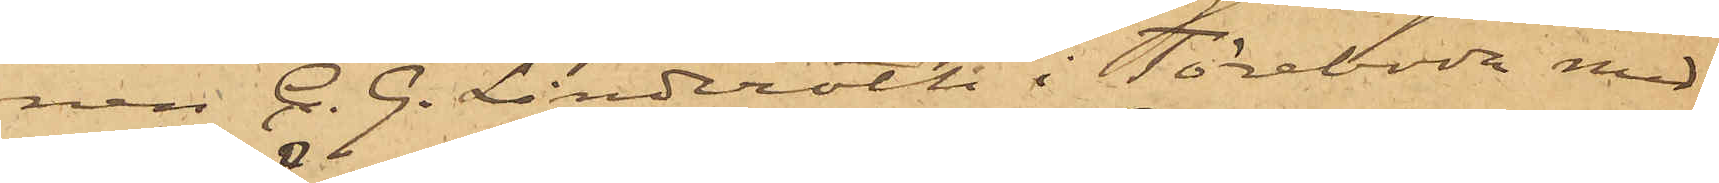nen C. G. Linderoth i Töreboda med
